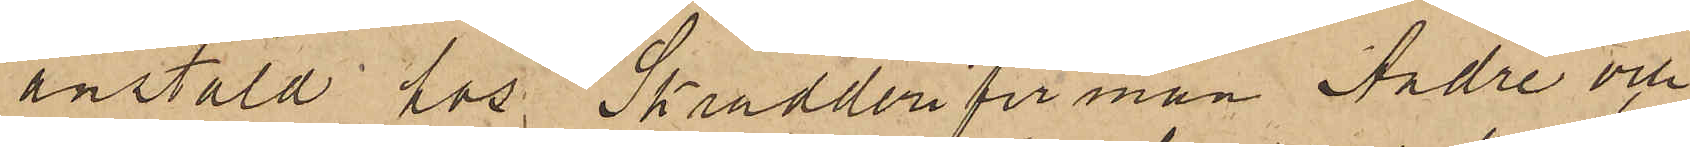anstäld hos Skrädderifirman André och
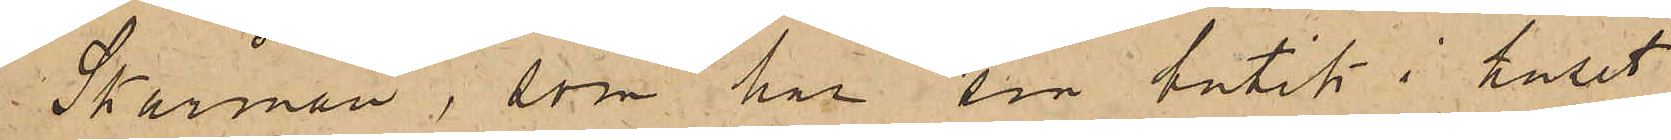Skårman, som har sin butik i huset
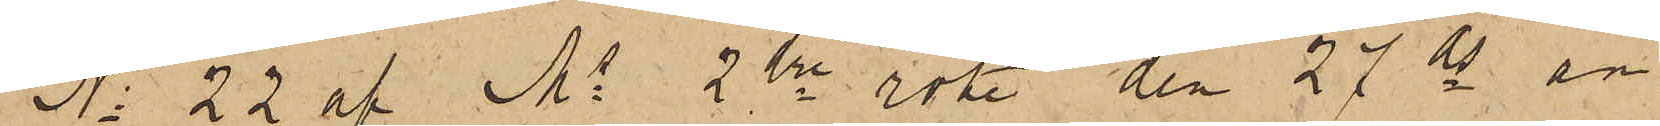No 22 af Ms 2dra rote den 27 ds an¬
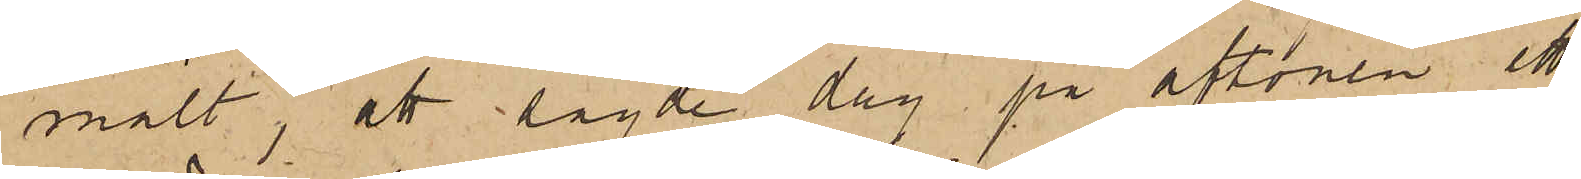mält, att sagde dag på aftonen ett
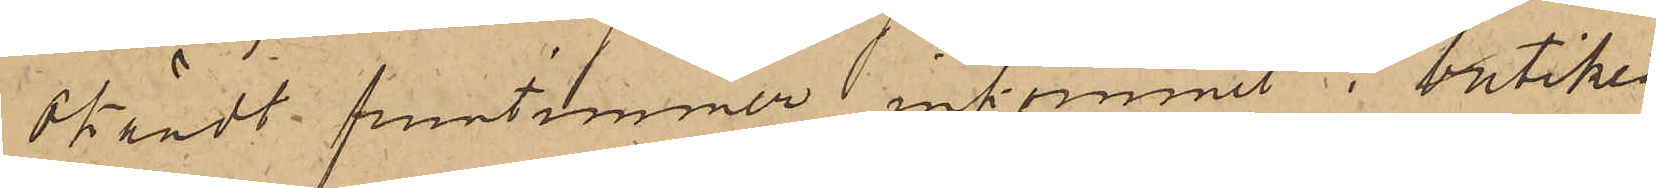okändt fruntimmer inkommit i butiken
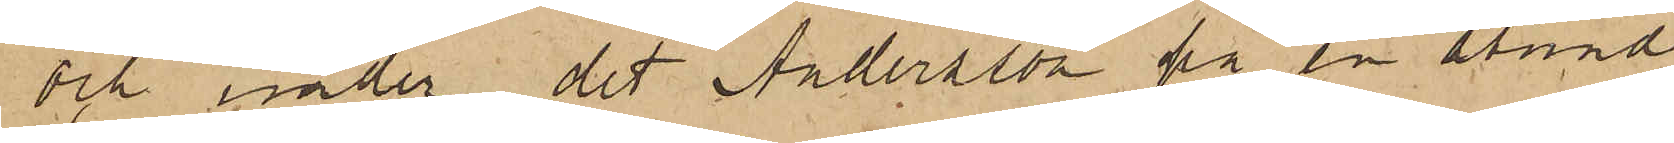och under det Andersson på en stund
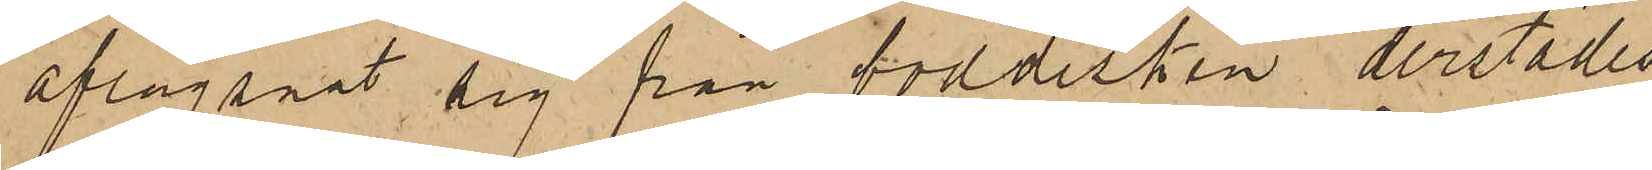aflägsnat sig från boddisken derstädes
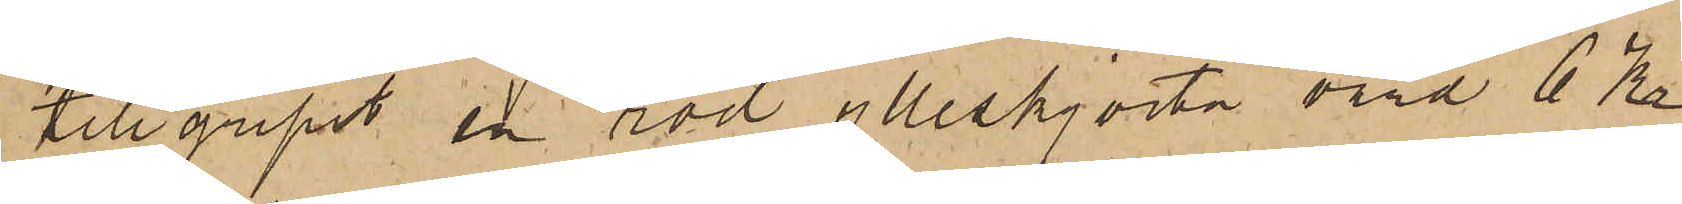tillgripit en röd ylleskjorta värd 6 Kr
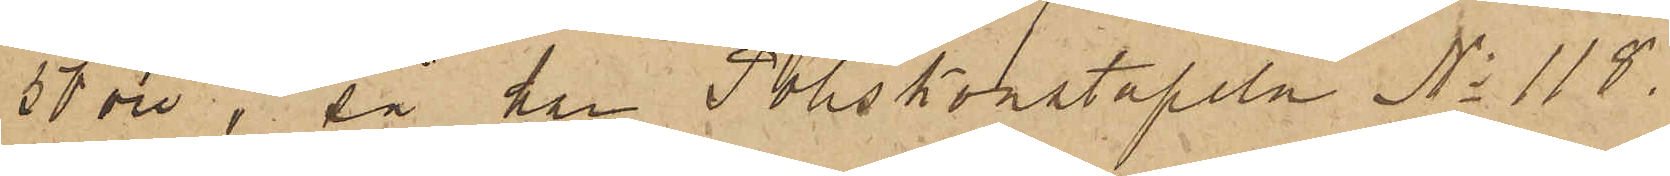50 öre; så har Poliskonstapeln No 118.
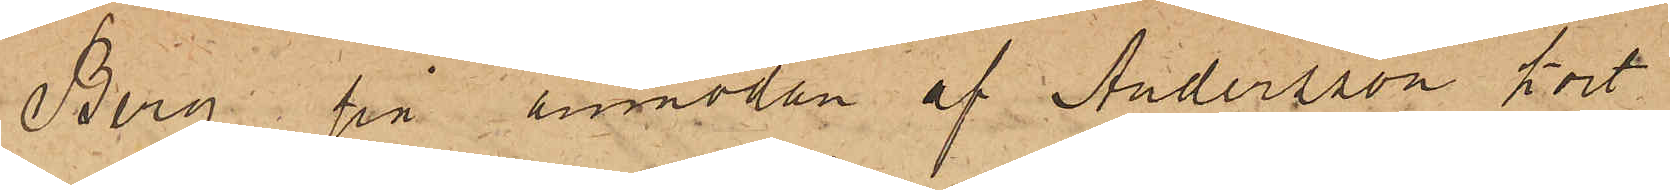Berg på anmodan af Andersson kort
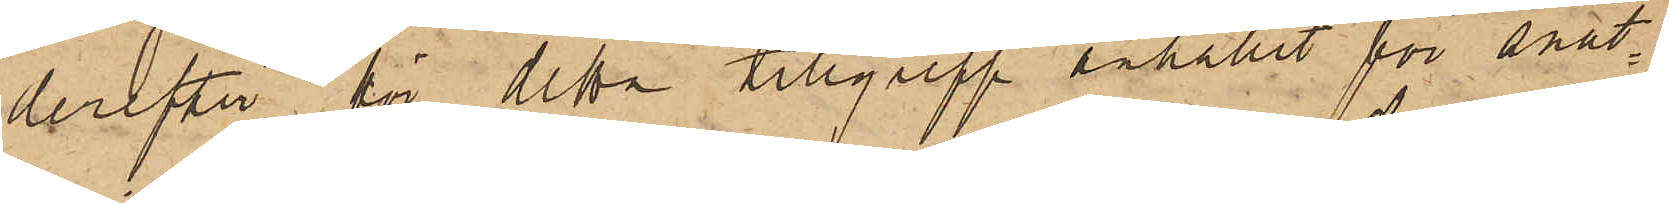derefter för detta tillgrepp erhållit för snat¬
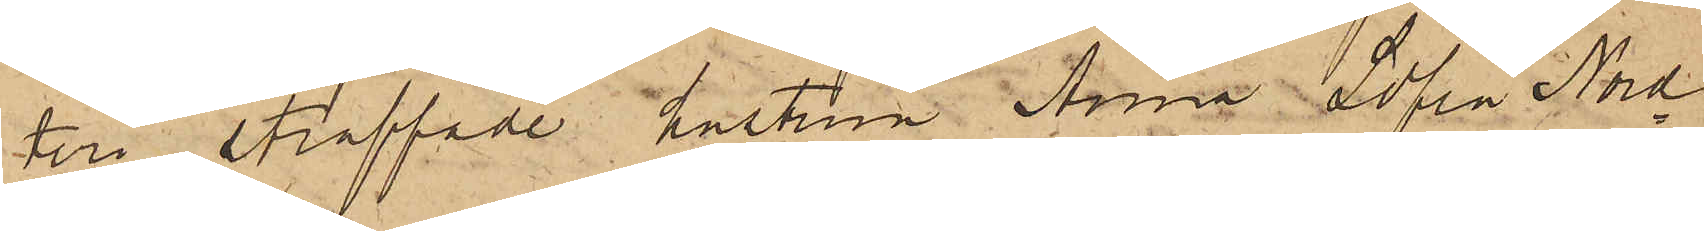teri straffade hustrun Anna Sofia Nord¬
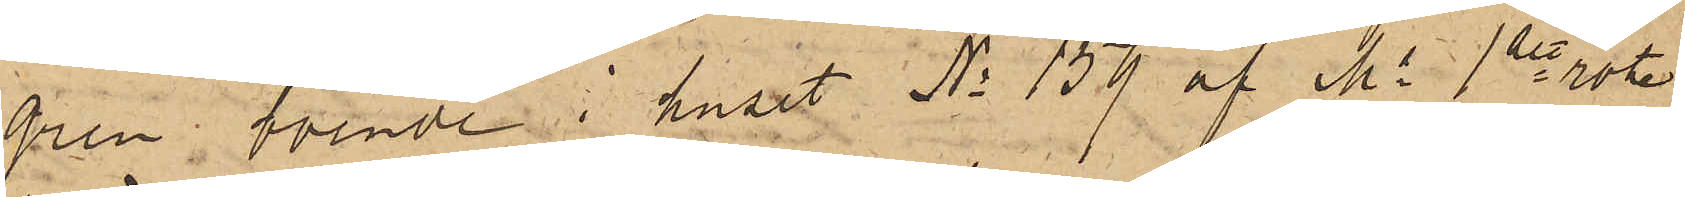gren, boende i huset No 159 af Ms 1ste rote
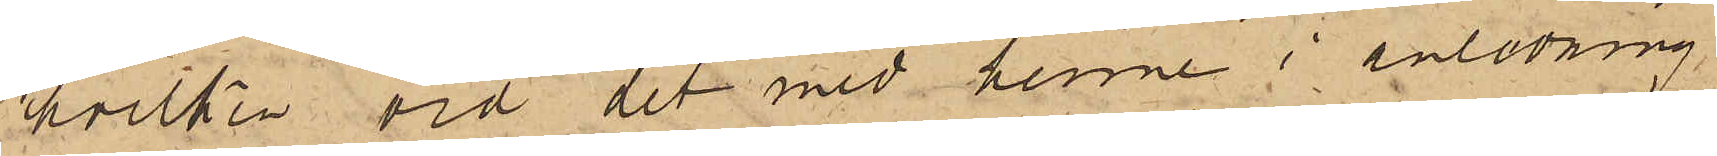hvilken vid det med henne i anledning
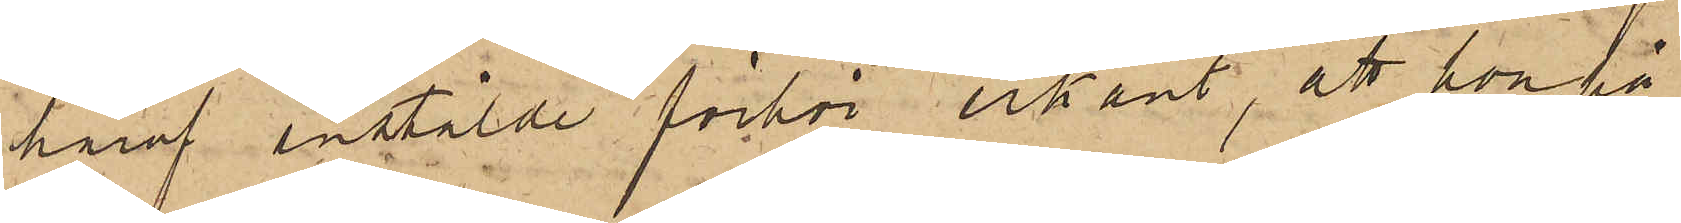häraf anstälde förhör erkänt, att hon på
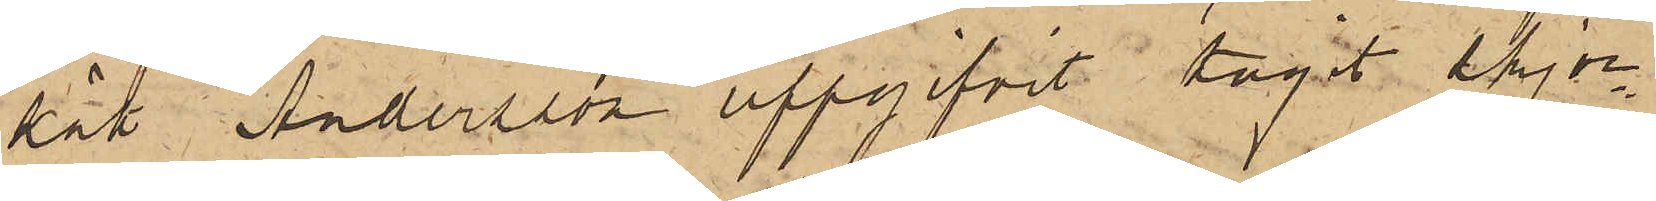sätt Andersson uppgifvit tagit skjor¬
